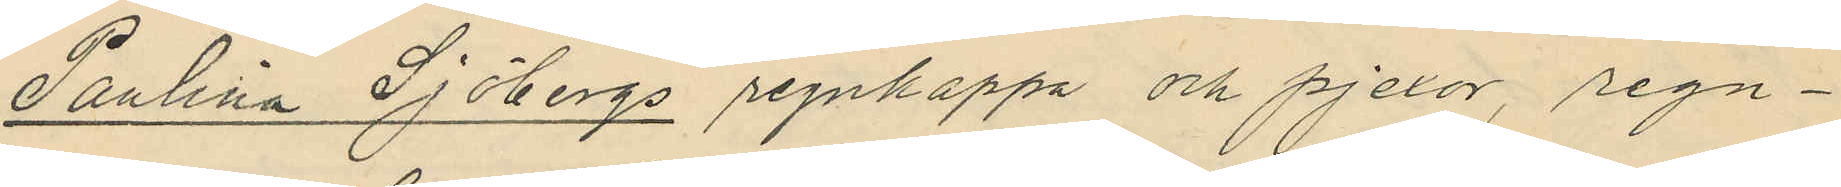Paulina Sjöbergs regnkappa och pjexor, regn¬
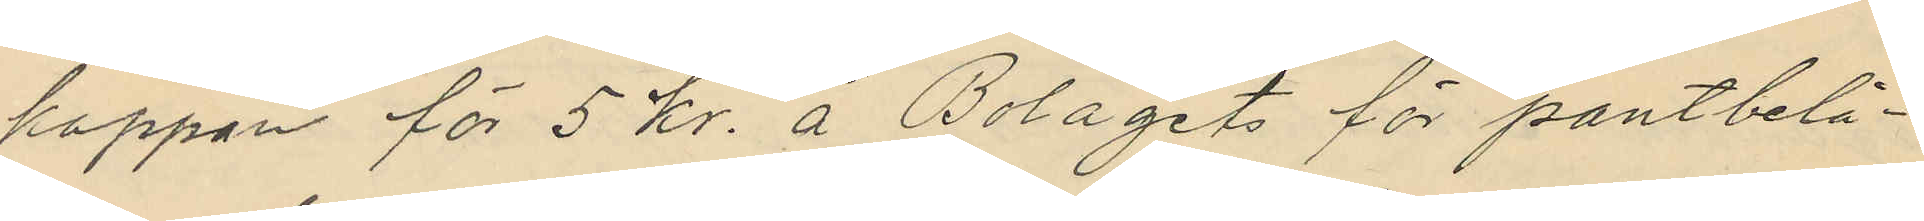kappan för 5 kr. å Bolagets för pantbelå¬
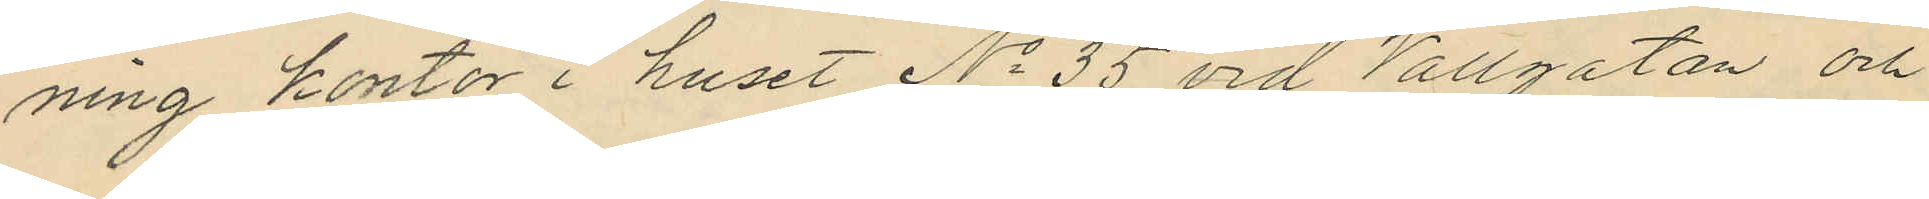ning kontor i huset No 35 vid Vallgatan och
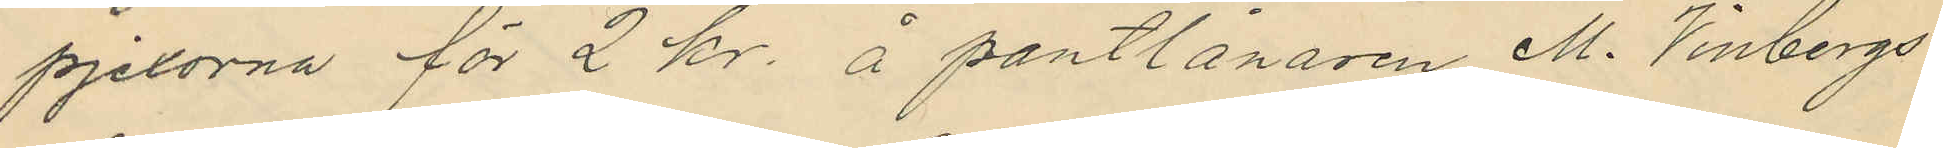pjexorna för 2 kr. å pantlånaren M. Vinbergs
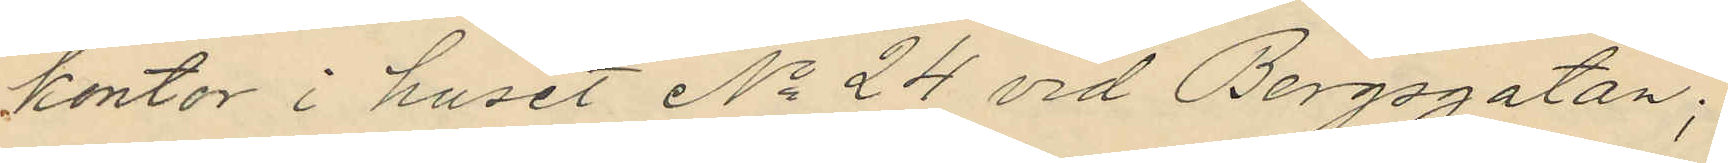kontor i huset No 24 vid Bergsgatan;
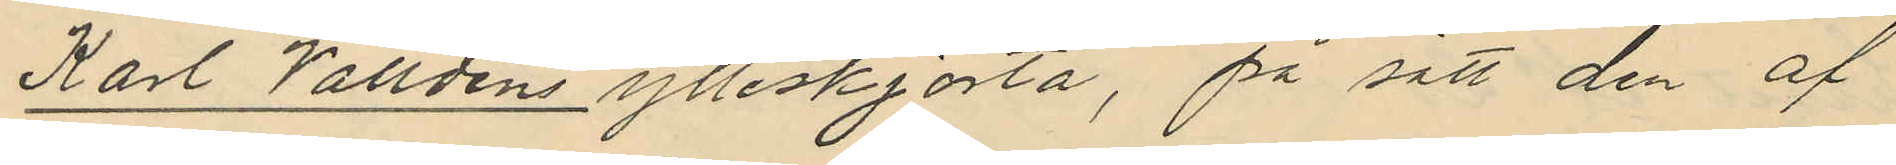Karl Valldéns ylleskjorta, på sätt den af
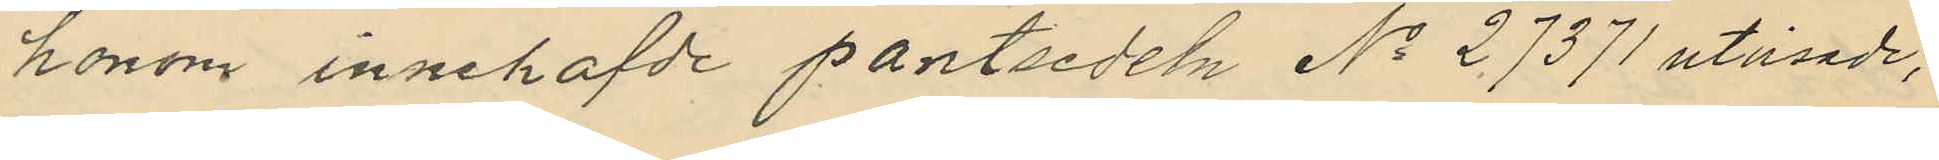honom innehafde pantsedeln No 27371 utvisade;
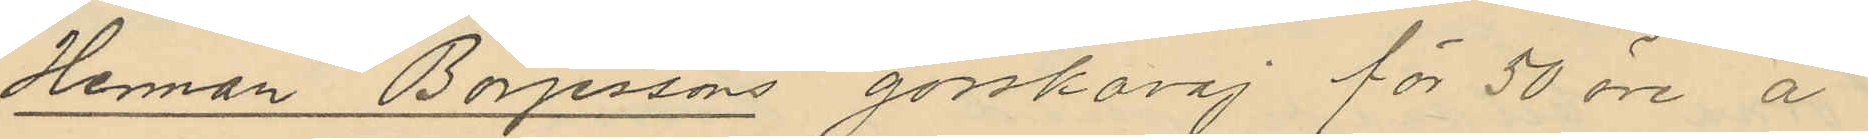Herman Börjessons gosskavaj för 50 öre å
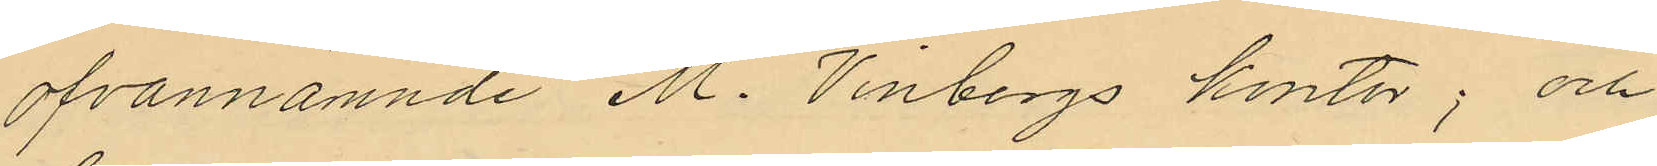ofvannämnde M. Vinbergs kontor; och
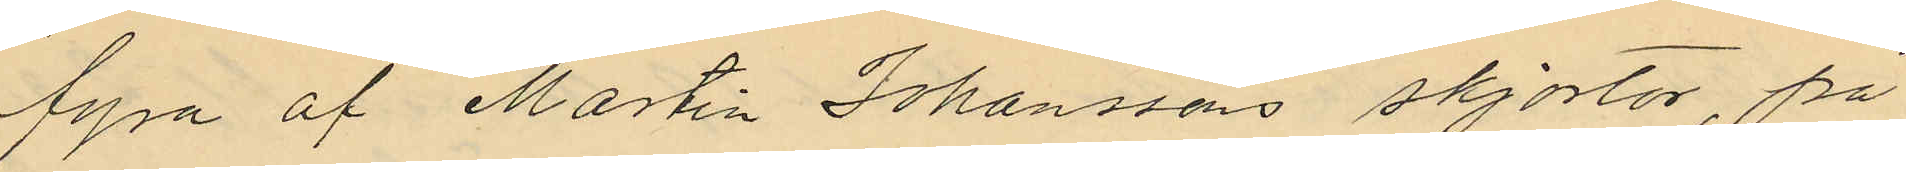fyra af Martin Johanssons skjortor, på
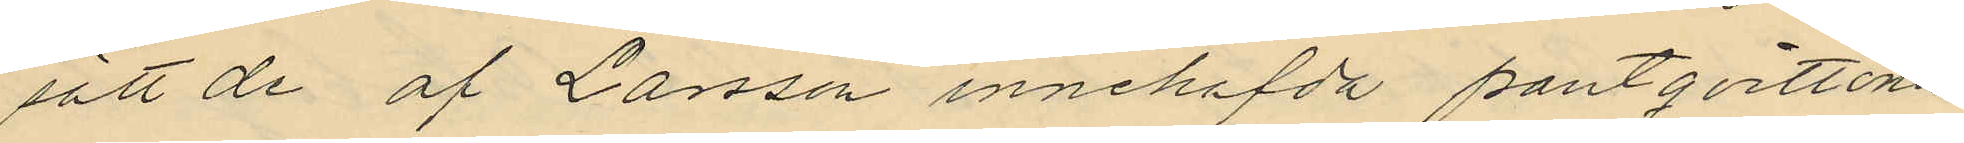sätt de af Larsson innehafda pantqvittona
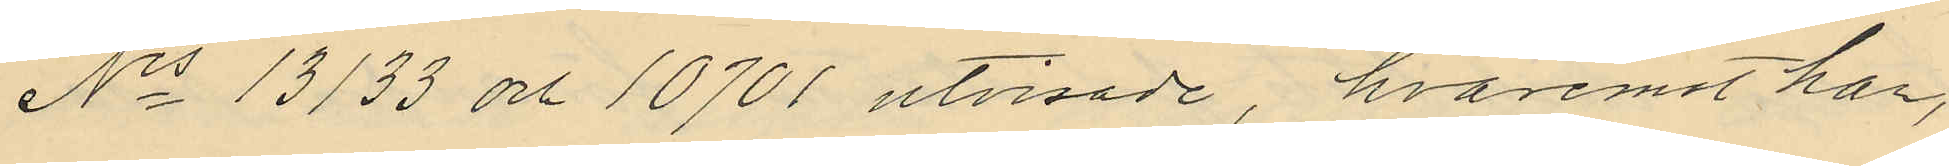Nis 13133 och 10701 utvisade, hvaremot han,
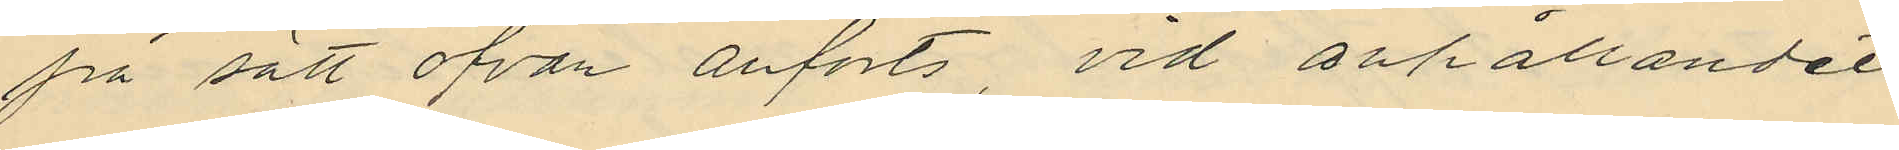på sätt ofvan anförts, vid anhållandet
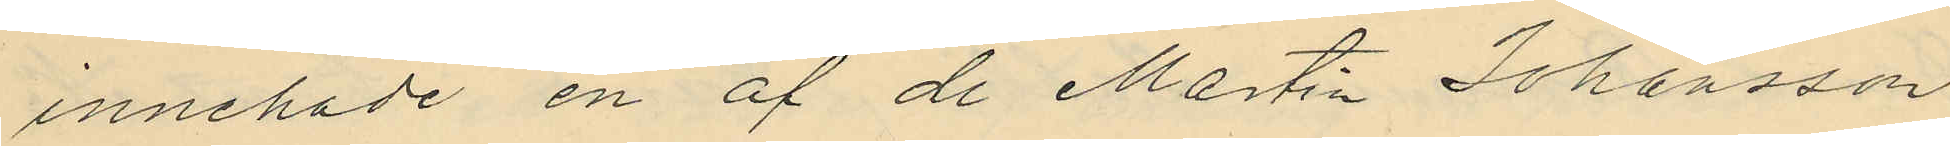innehade en af de Martin Johansson
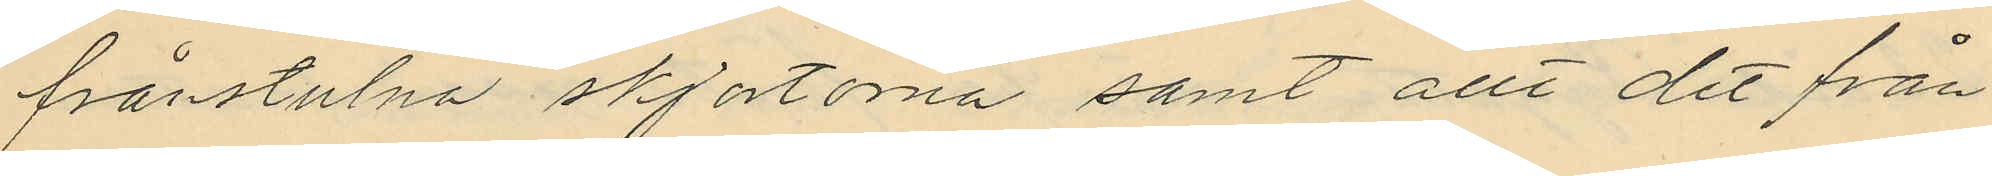frånstulna skjortorna samt allt det från
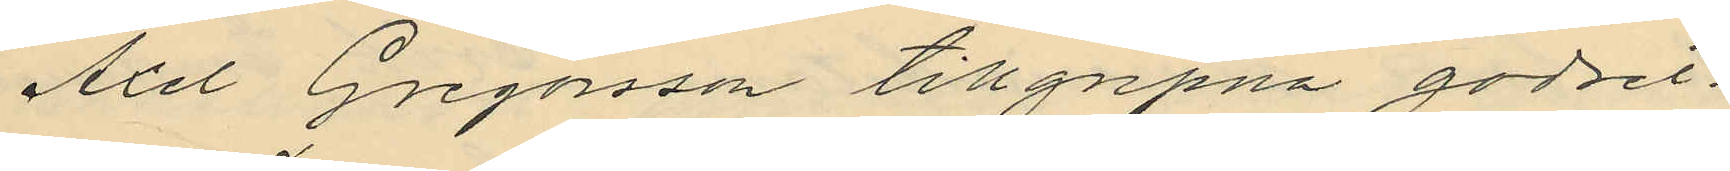Axel Gregorsson tillgripna godset.
